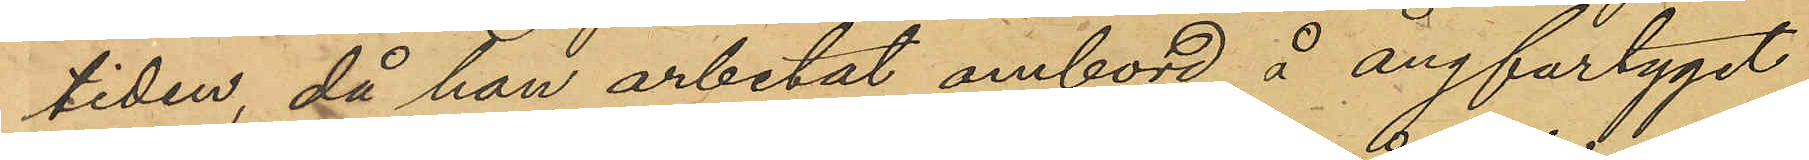tiden, då han arbetat ombord å ångfartyget
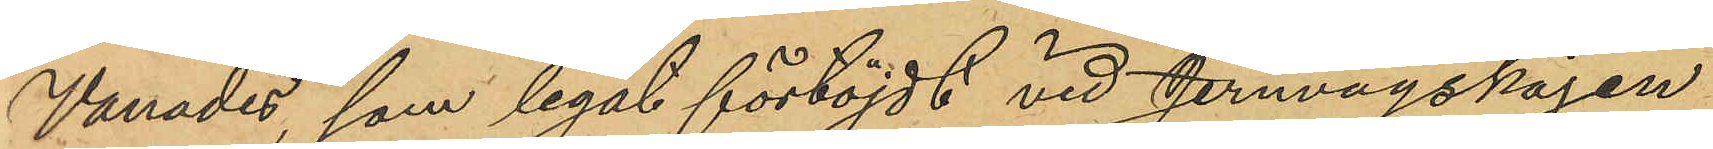"Vanadis", som legat förtöjdt vid Jernvågskajen
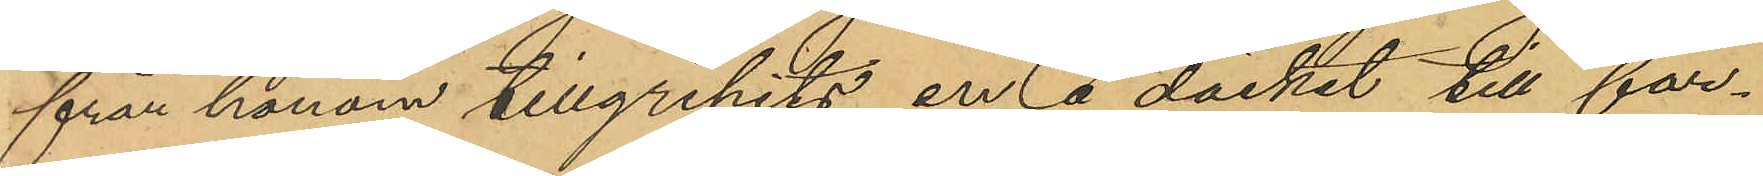från honom tillgripits en å däcket till far¬
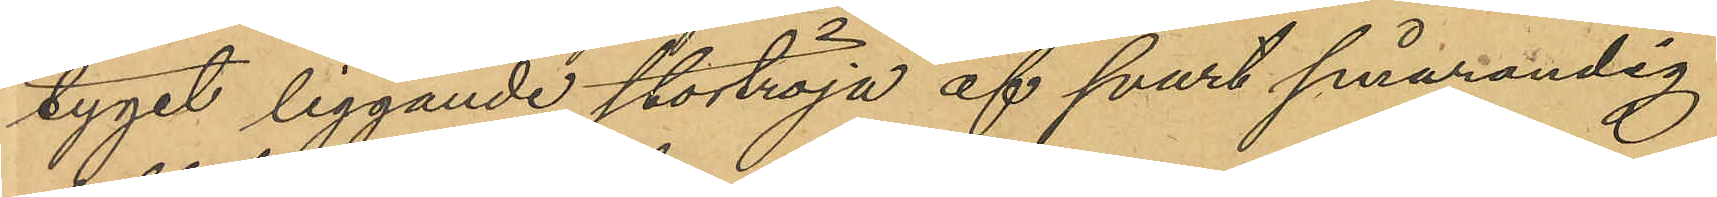tyget liggande stortröja af svart smårandig
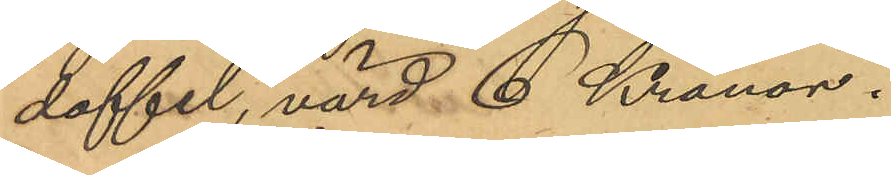doffel, värd 6 Kronor.
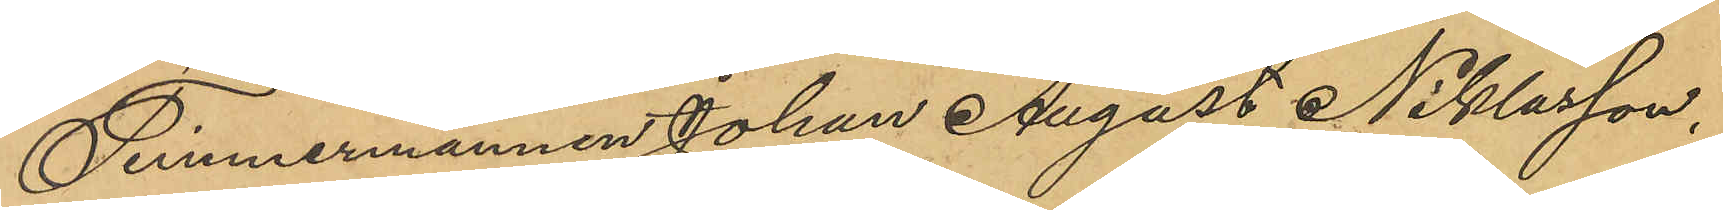Timmermannen Johan August Niklasson,
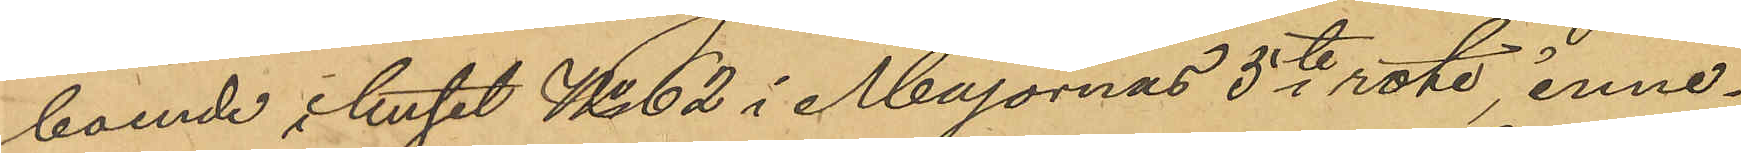boende i huset No 62 i Majornas 5te rote, inne¬
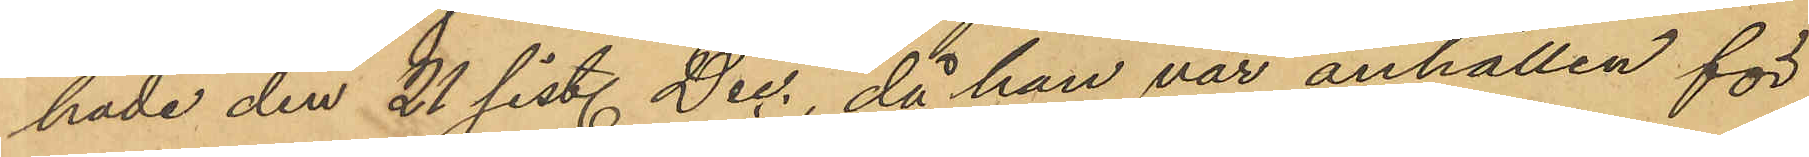hade den 21 sist. Dec., då han var anhållen för
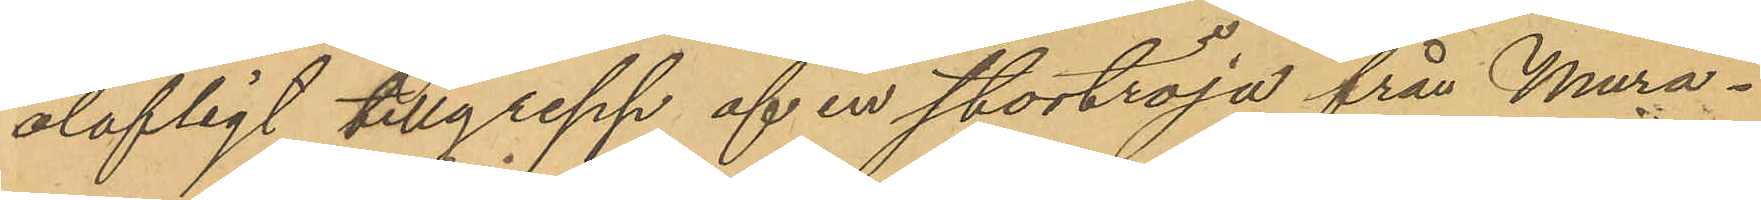olofligt tillgrepp af en stortröja från Mura¬
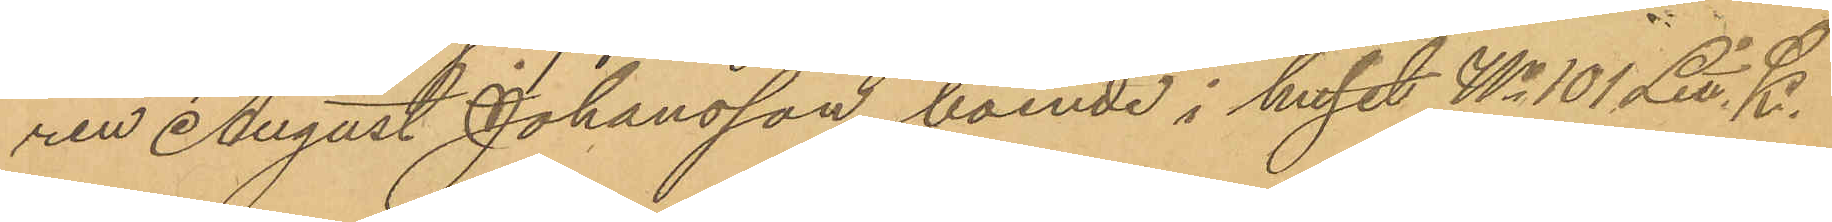ren August Johansson, boende i huset No 101 Litt. K.
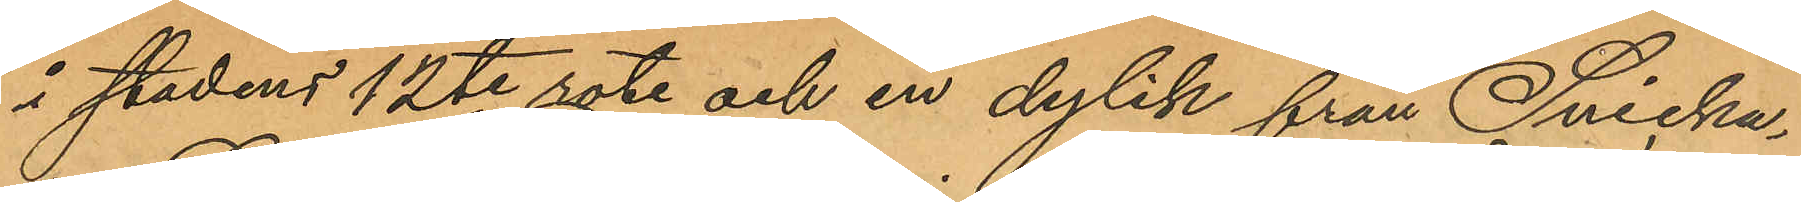i stadens 12te rote och en dylik från Snicka¬
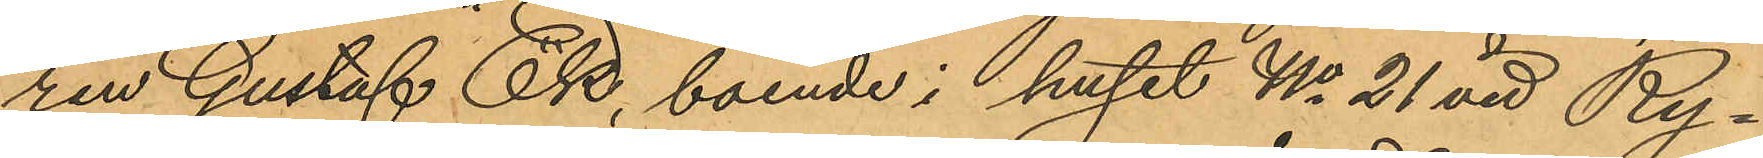ren Gustaf Ek, boende i huset No 21 vid Ry¬
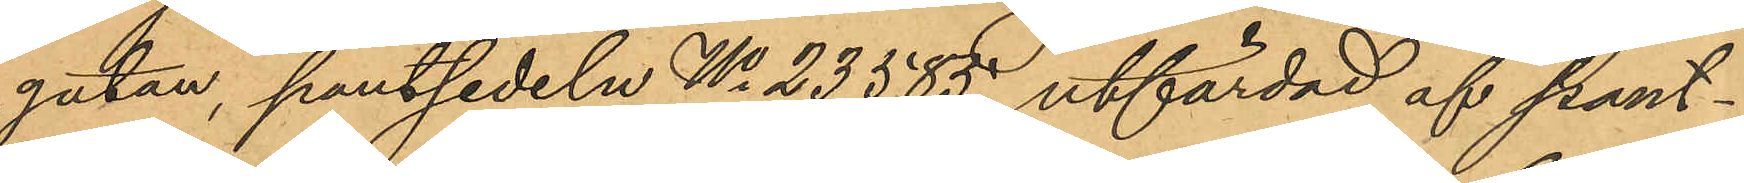gatan, pantsedeln No 23585, utfärdad af pant¬
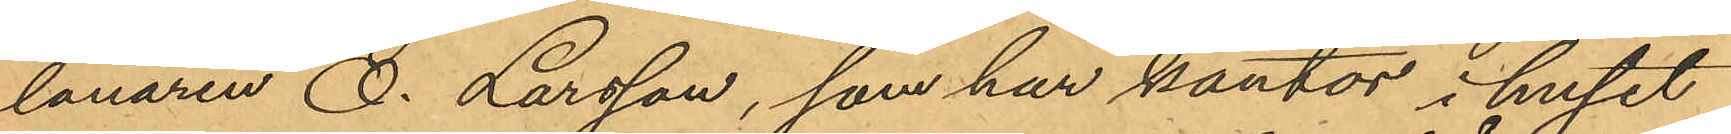lånaren O. Larsson, som har kontor i huset
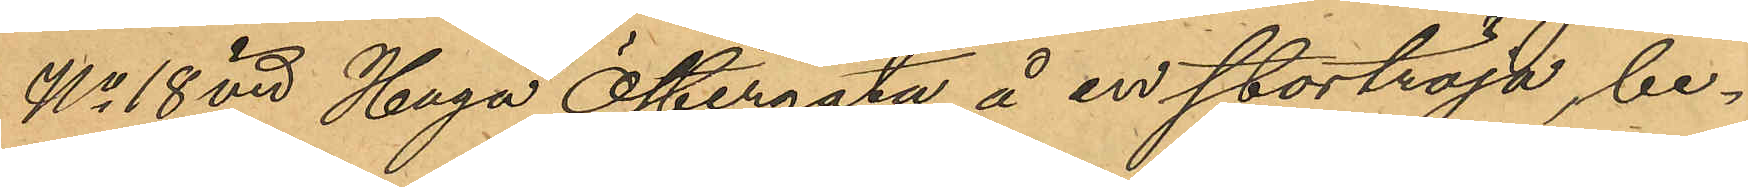No 18 vid Haga Östergata å en stortröja, be¬
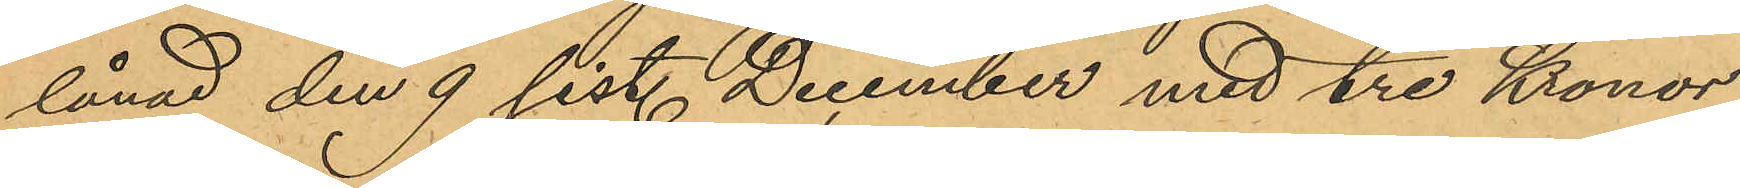lånad den 9 sist. December med tre Kronor,
